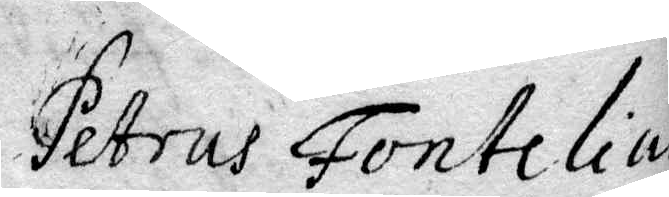Petrus Fontelius
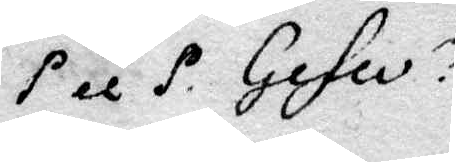P et P. Gefle
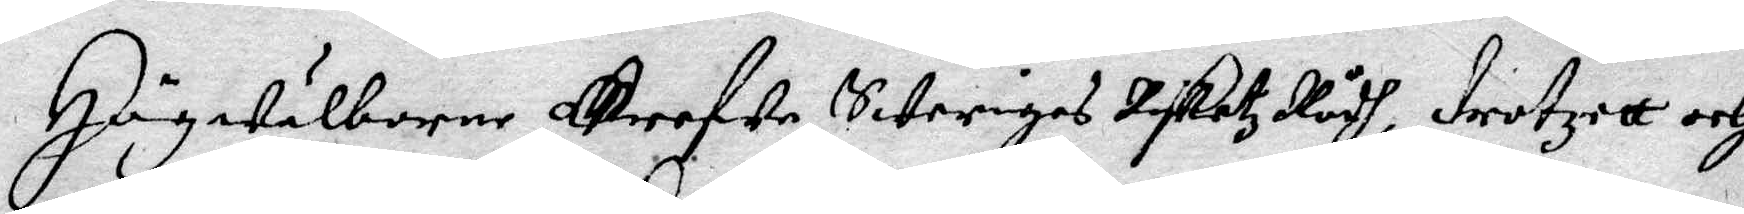Högwälborne Grefwe, Sweriges Riketz Rådh, drotzett och
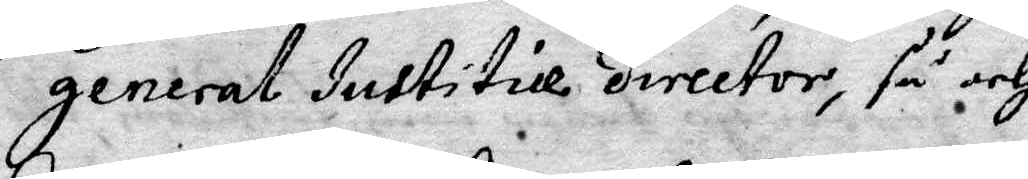generla Justitice director, så och
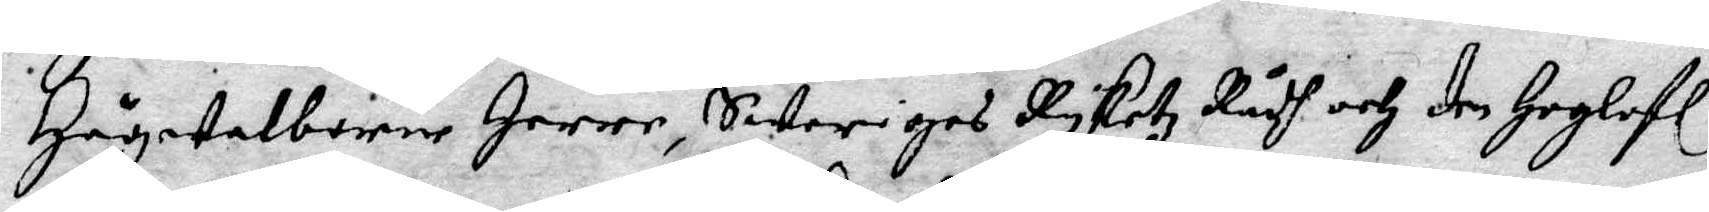Högwelborne Herre, Sweriges Ryketz Rådh och den Hoglofl
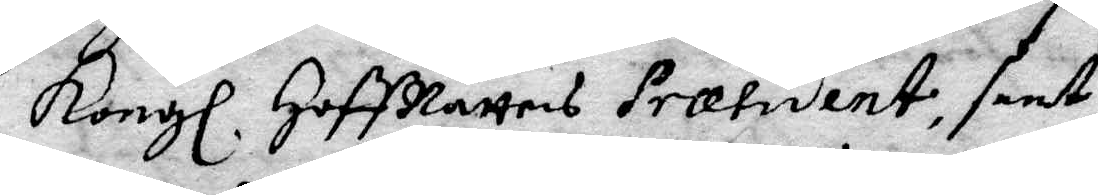Kongl. HoffRättens Præsident, samt
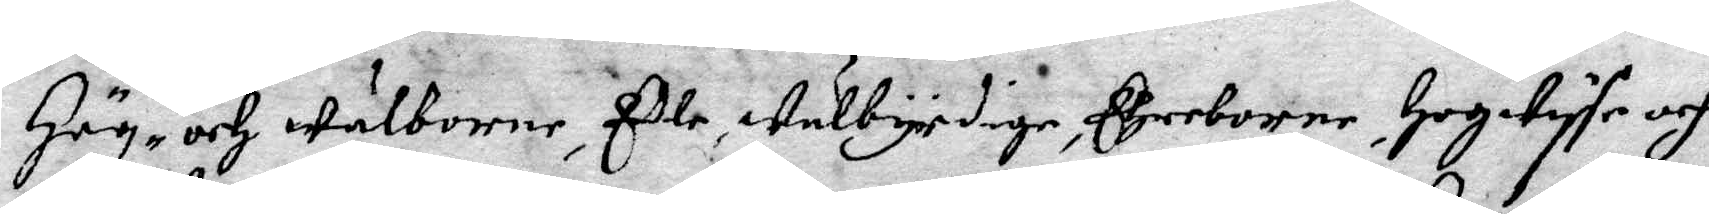Hög- och Wälborne, Edle Wälbyrdige, Ehreborne, Hogwyse och
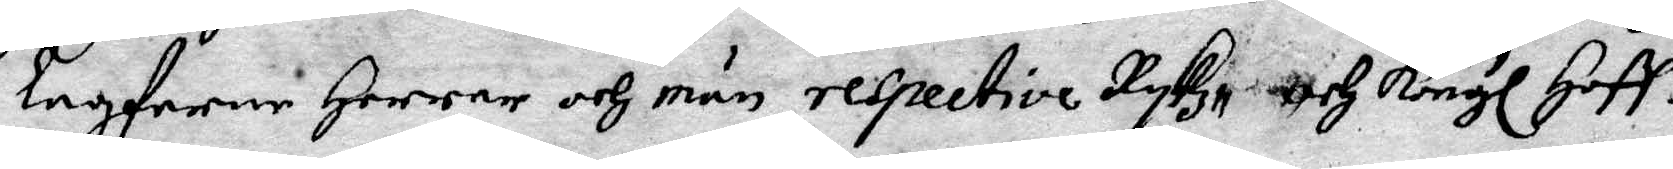lagfarne Herrar och män, respective Rykz- och Kongl Hoff—
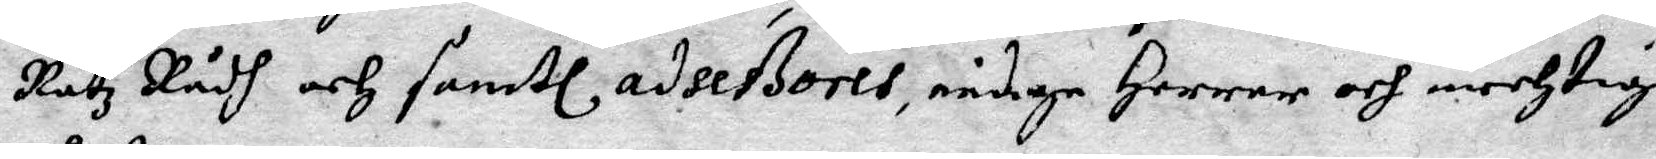Ratz Rådh och samtl adseßores, nådige Herrar och mechtige 
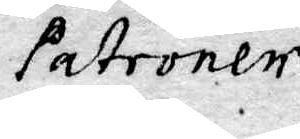Patroner
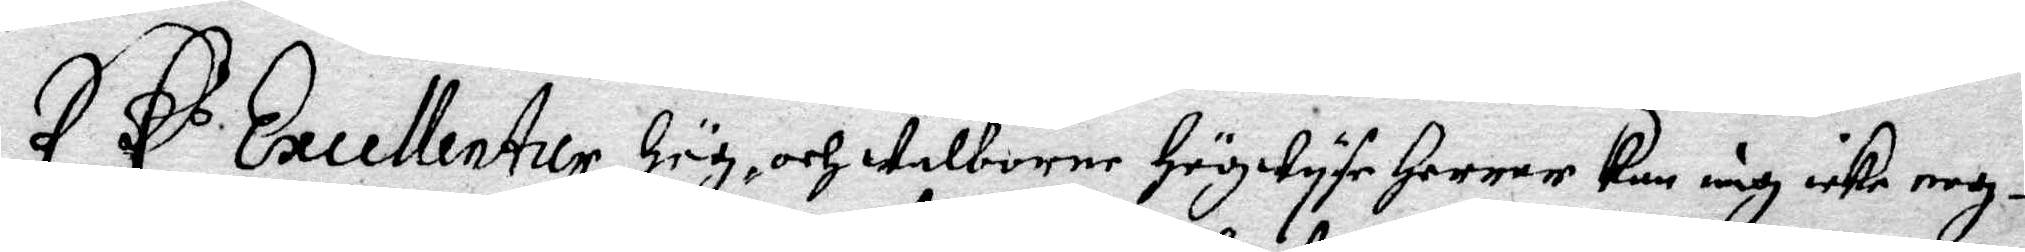EE.s Excellentur Hög- och welborne Högwyse Herrar kan iag icke nog¬
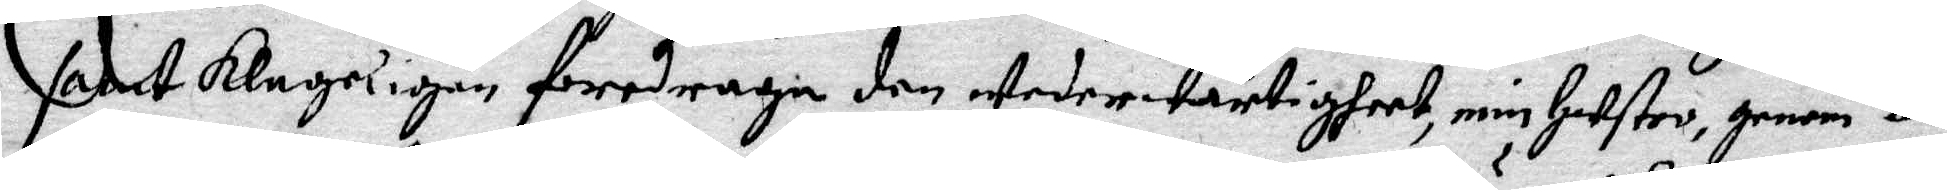samt klage igen foredraga den wederwartigheet, min Hustro, genom o¬
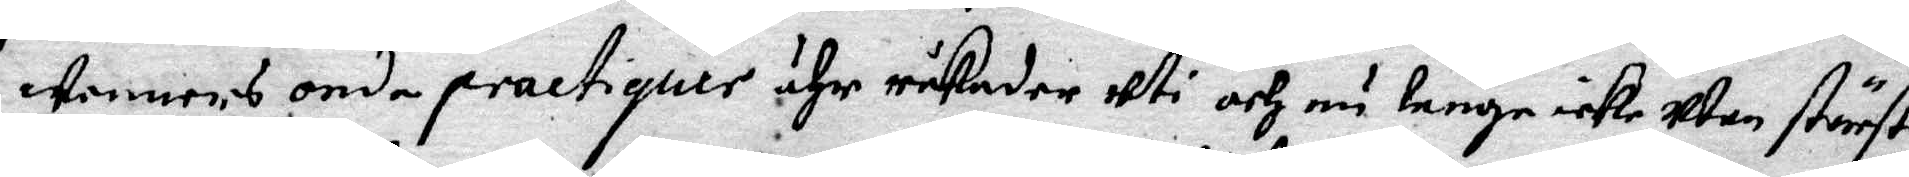wenners onda practiquer ähr råkade uti och nu länge icke utan största
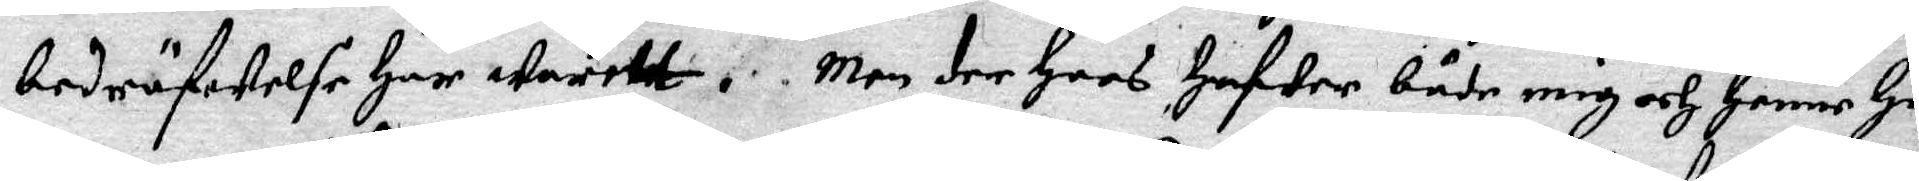bedröfwelse har warett. Men der hoos hafwer både mig och henne Hu¬
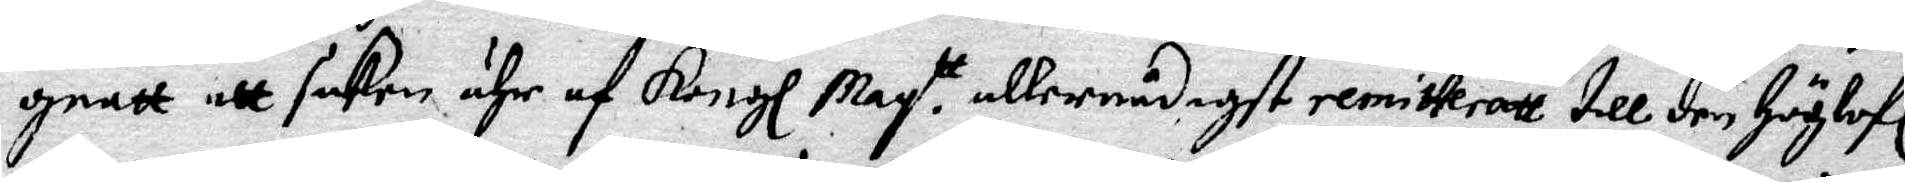gnatt att saken ähr af Kongl May.tt allernådigst remitteratt till den Höglofl
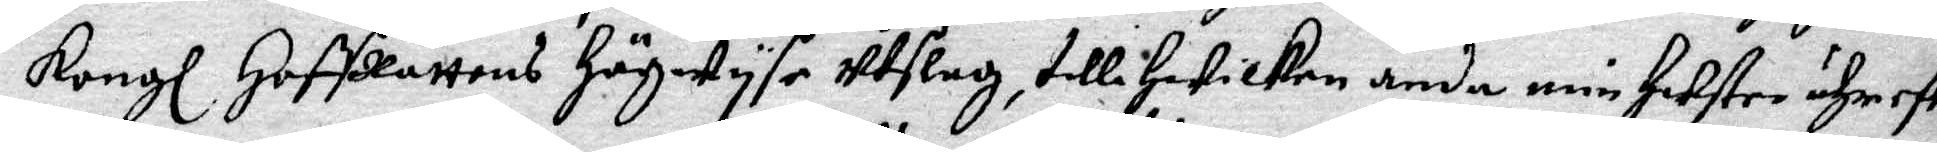Kongl HoffRättens Högwysa Utslag, till Hwilken ända min Hustro ähr efter
